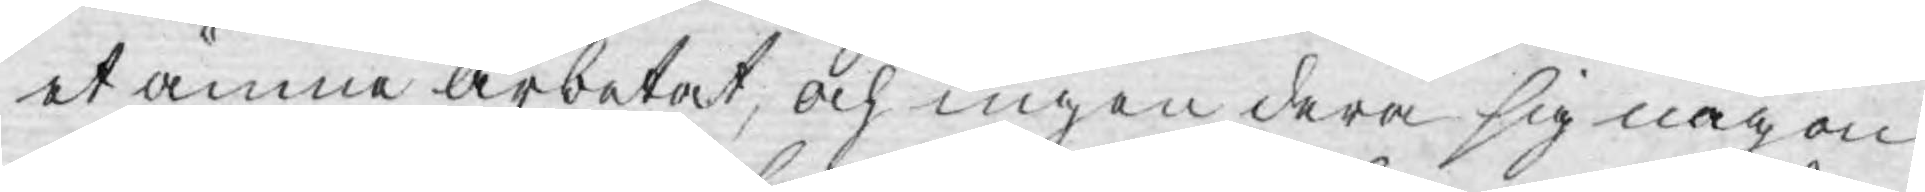et ämne arbetat, och ingen dera sig någon
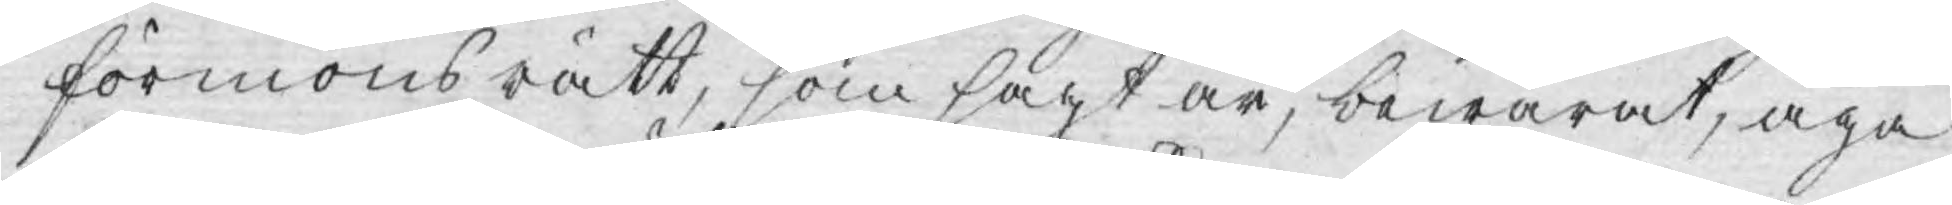förmons rätt, som sagt är, bewarat, äga
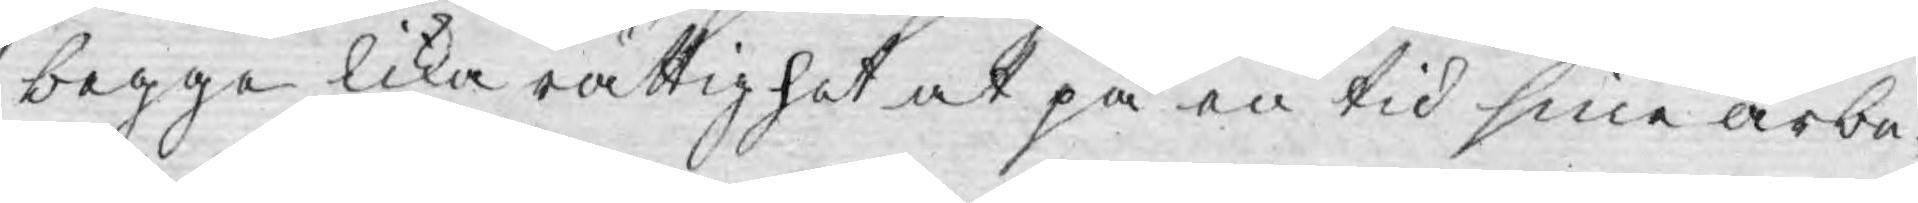begge lika rättighet at på en tid sine arbe¬
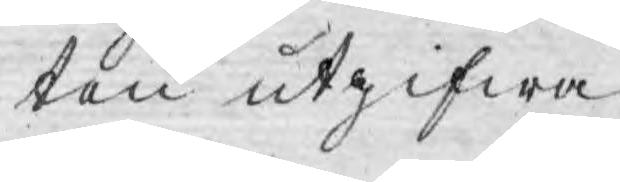ten utgifwa.
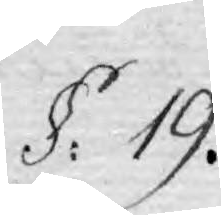§. 19.
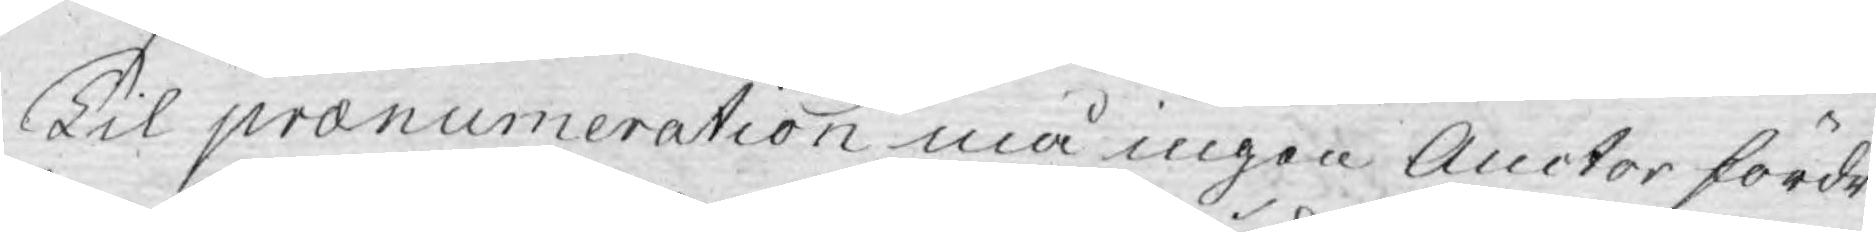Til pranumeration må ingen Auctor fördri¬
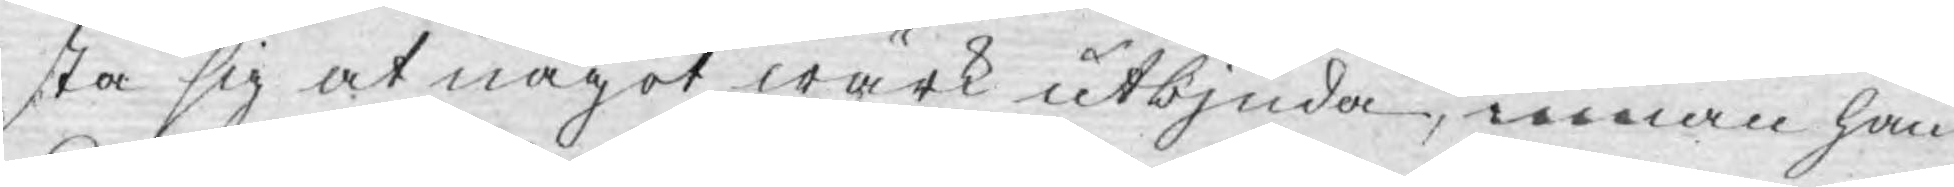sta sig at något wärk utbjuda, innan han
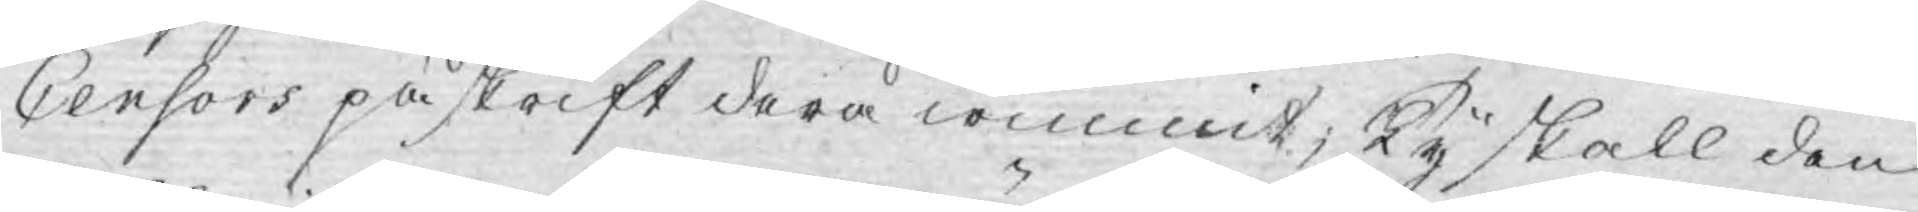Censors påskrift derå wunnit; Ty skall den
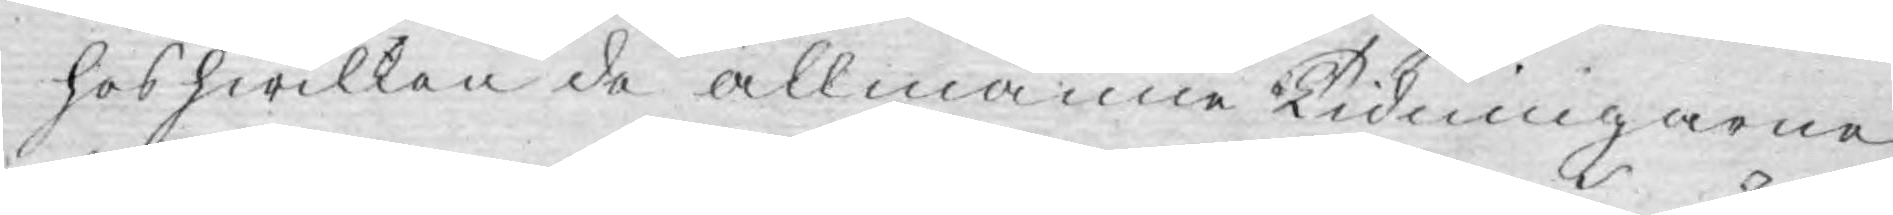hos hwilken de allmänne Tidningarne
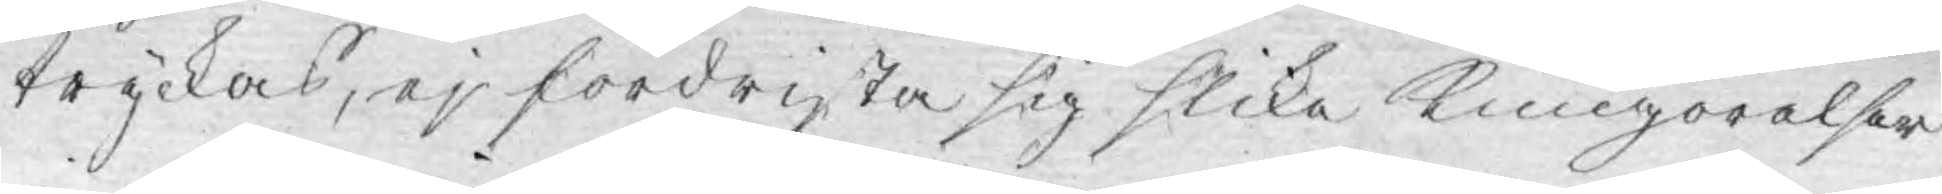tryckas, ej fördrista sig slika kungörelser
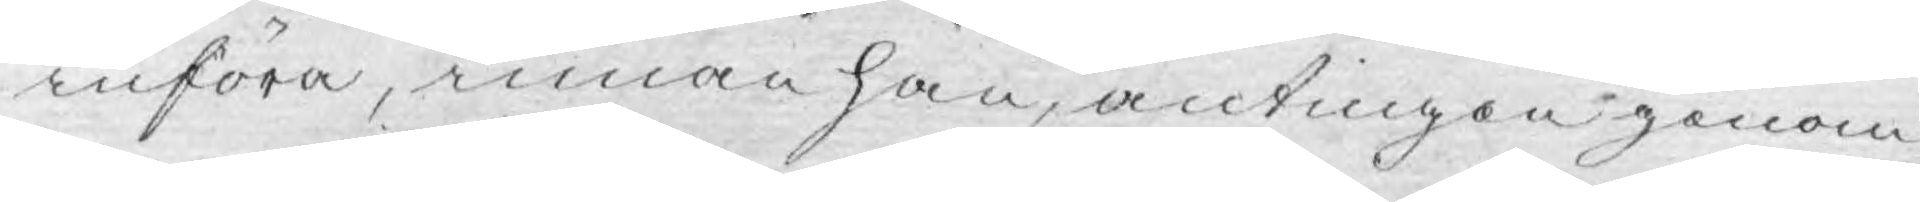införa, innan han, antingen genom
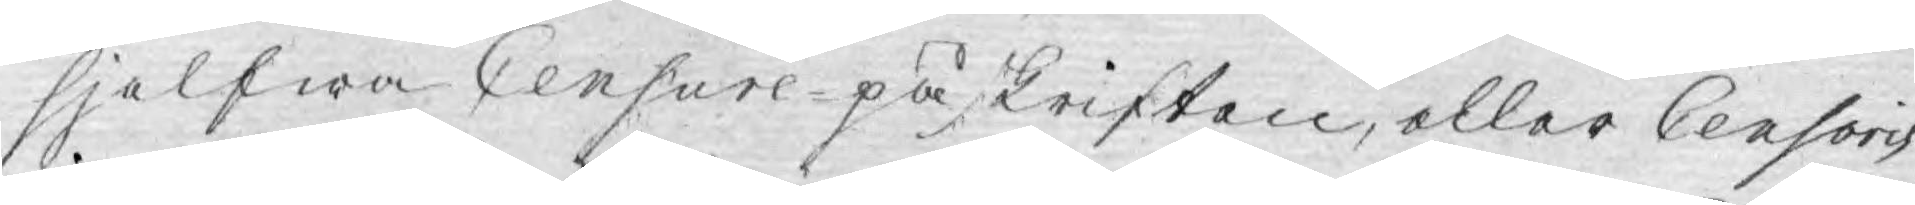sjelfwa Censure-påskriften, eller Censoris
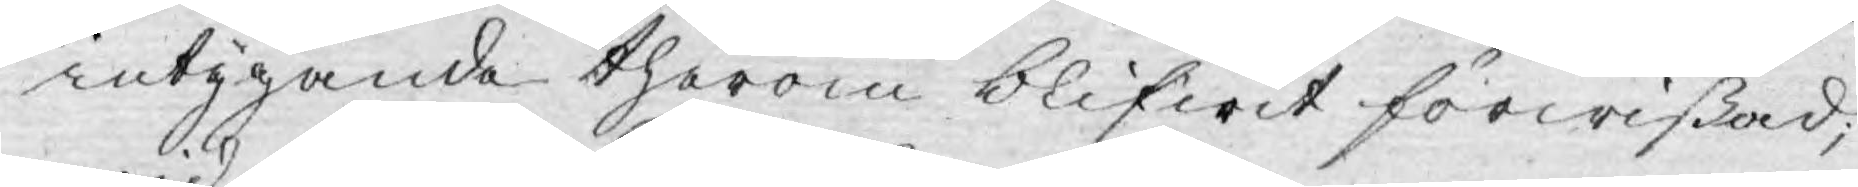intygande therom blifwit förwißad,
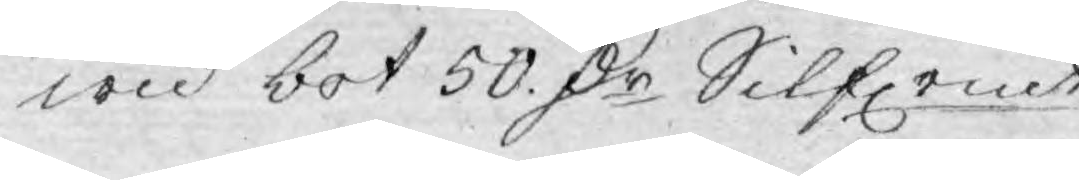wid bot 50. D:r Silfrmt.
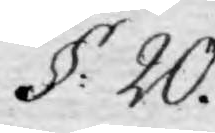§: 20.
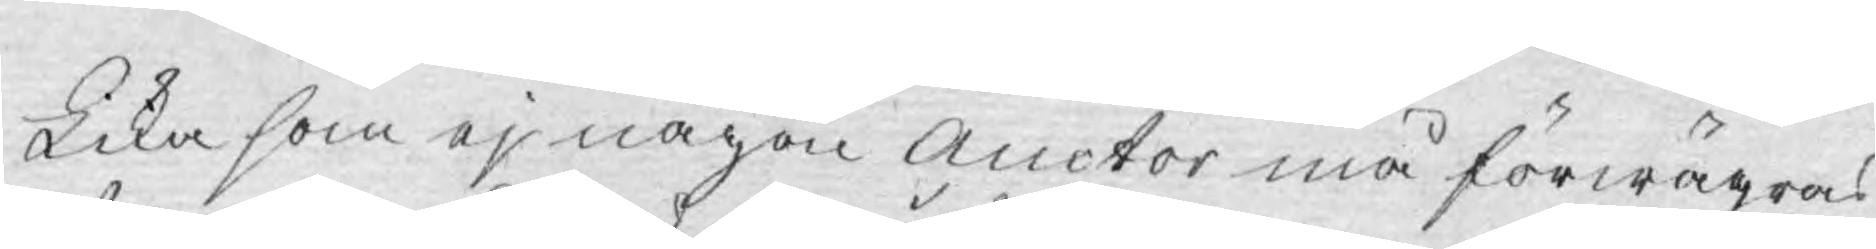Lika som ej någon Auctor må förwägras
